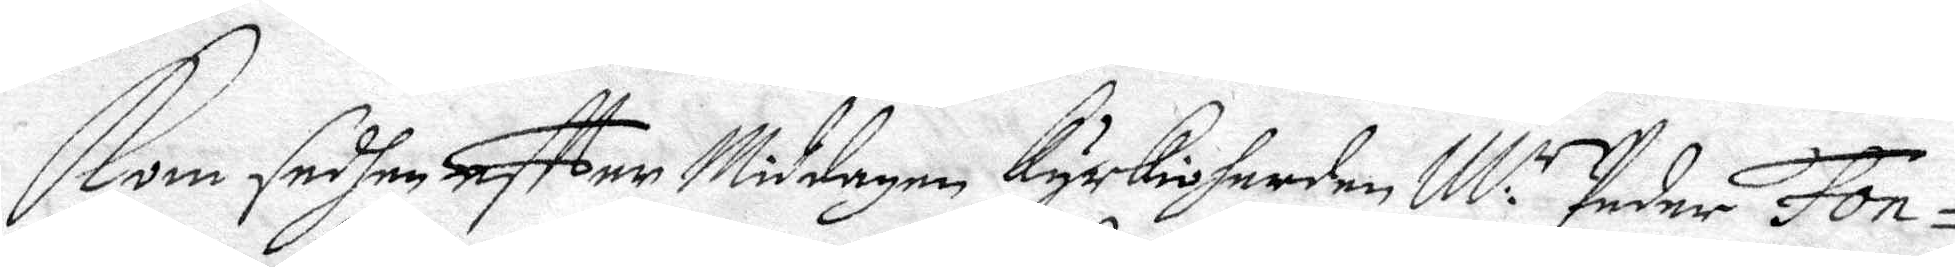Kom sedhan effter Middagen Kyrkioherden M: Peder Fon¬
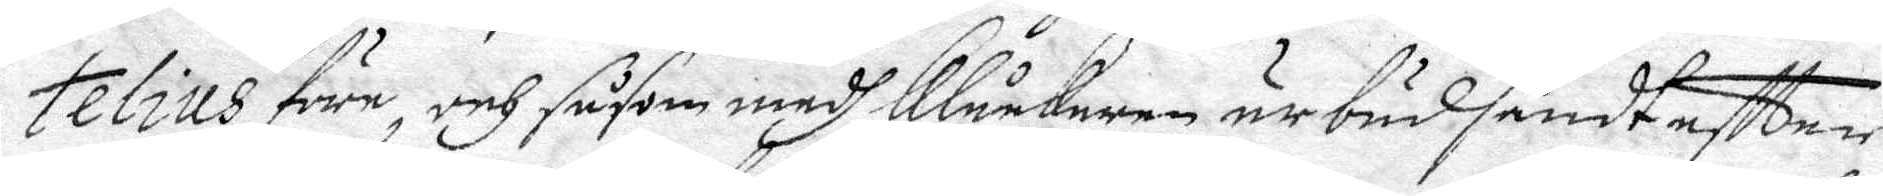telius före, och såsom medh Klåckaren är bud sändt efter
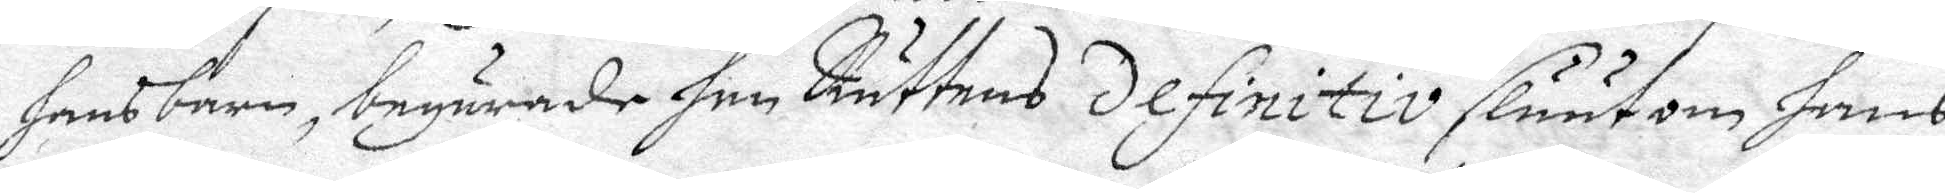hans barn, begärade han Rättes Definitiv sluut om hans
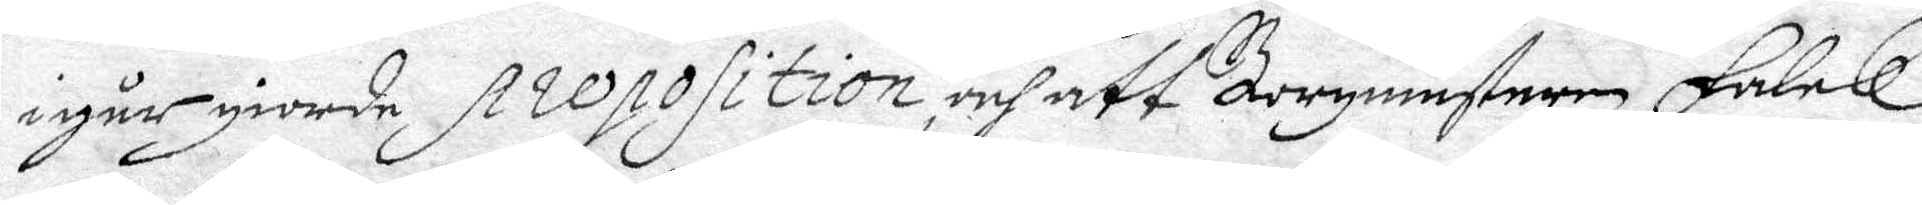igår giorde preposition, och att Borgmästaren Falck
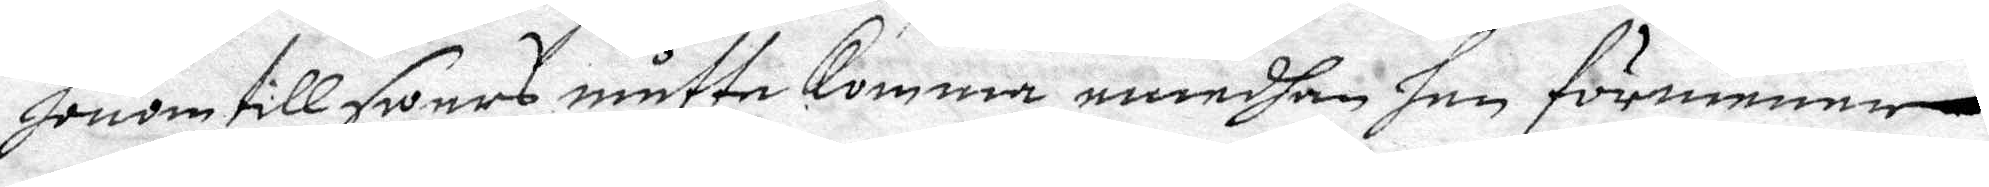honom till swars måtte komma, emedhan han förmener
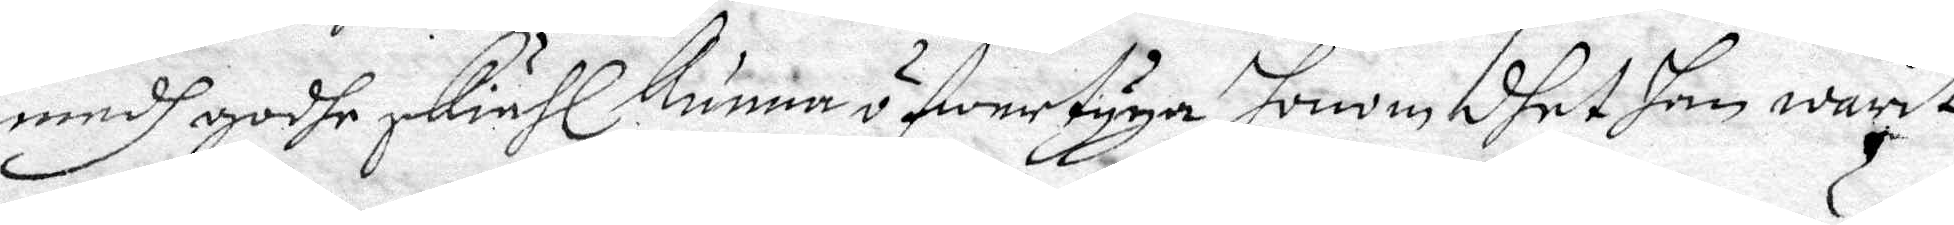medh godhe skiähl kunna öfwertyga honom dhet han warit
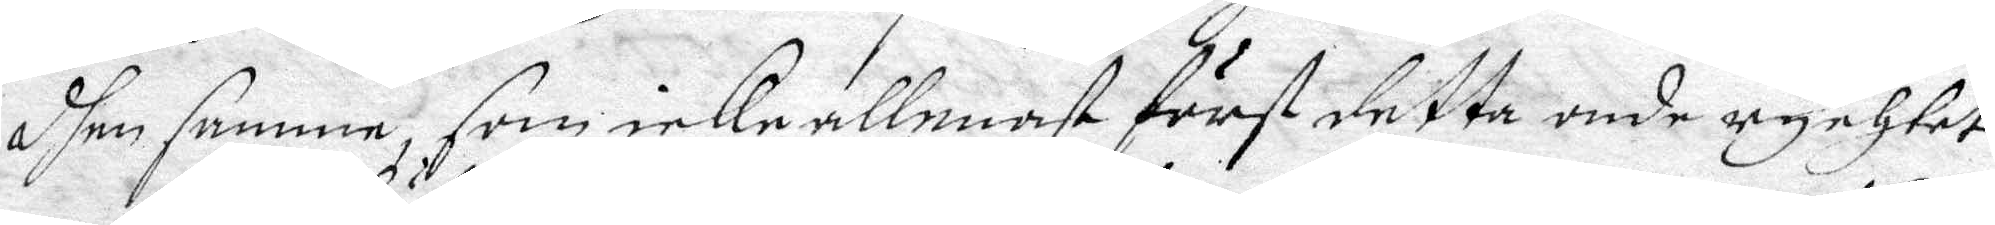dhen samme som icke allenast först detta onde rychtet
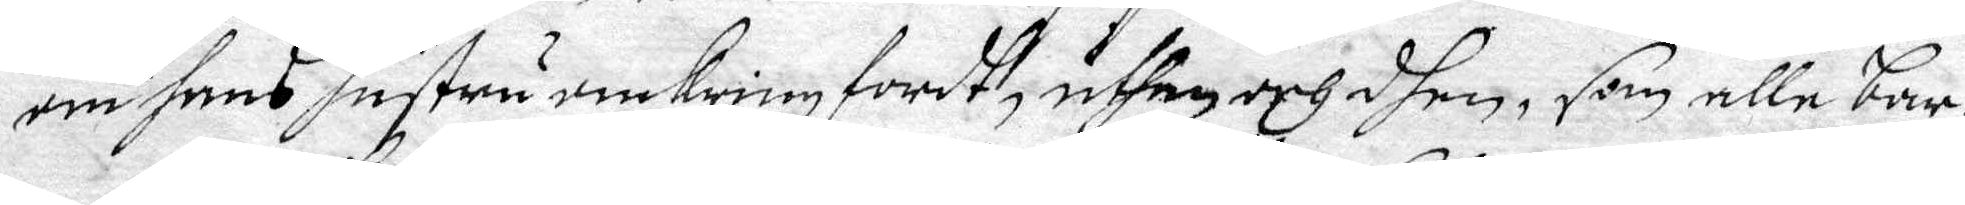om hans hustru omkring fordt, uthan och dhen, som alle bar¬
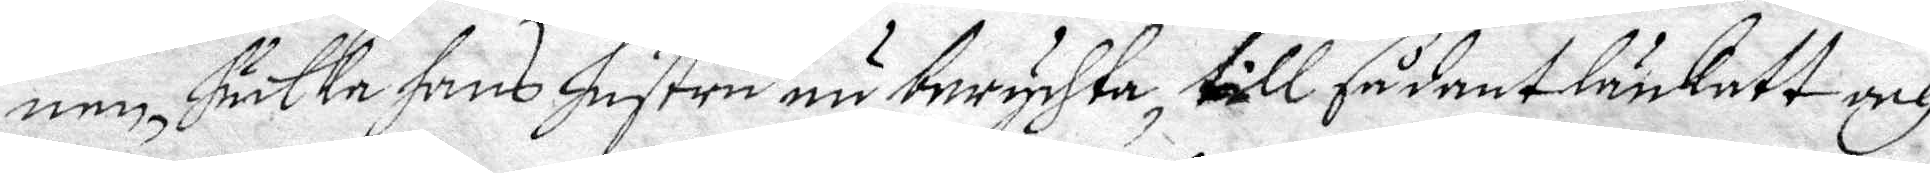nen, huilke hans Hustru nu berychta, till sådant länkatt och
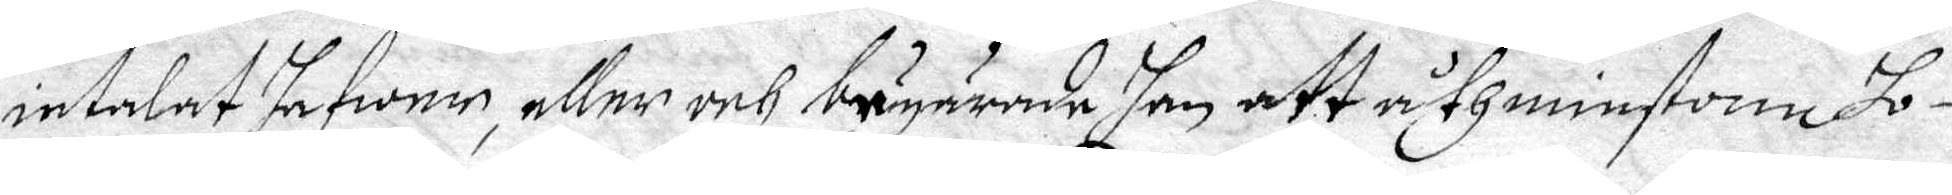intalat hafwer, eller och bägärade han att åthminstone ho¬
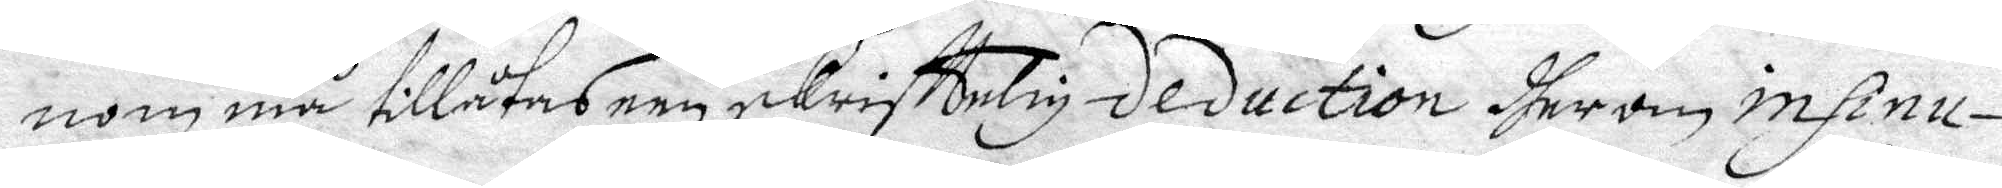nom må tillåtas een skrifftelig deduction dherom insinu¬
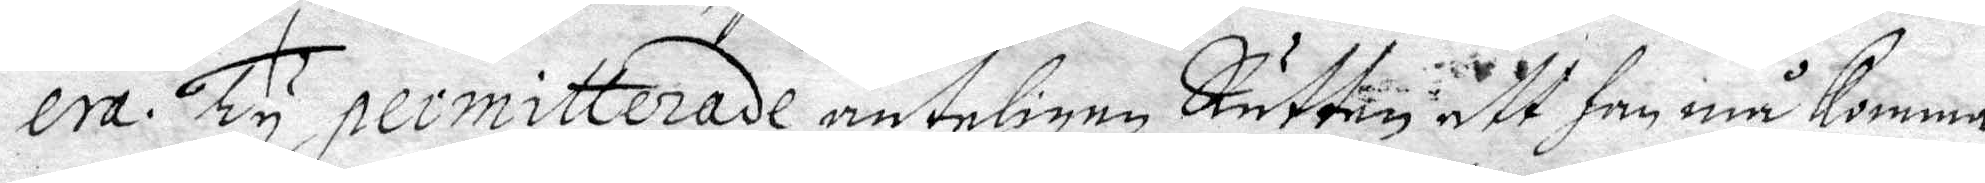era. Ty permitterade änteligen Rätten att han må Komma
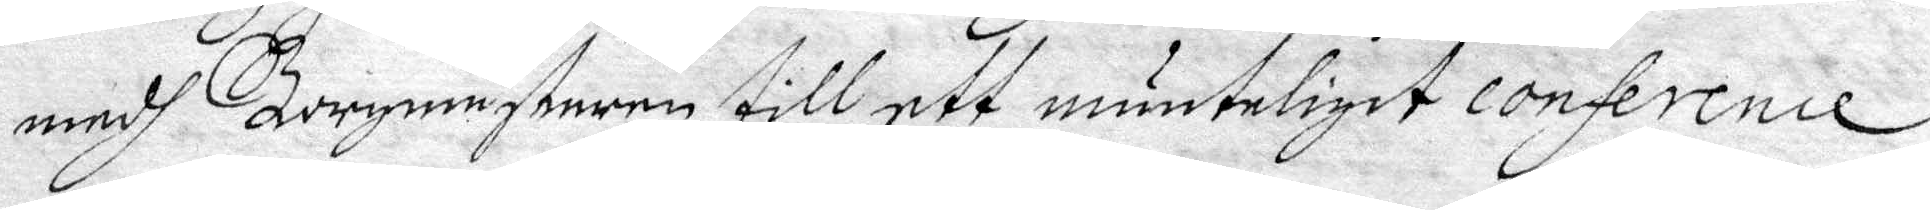medh Borgmästaren till ett munteligit conference
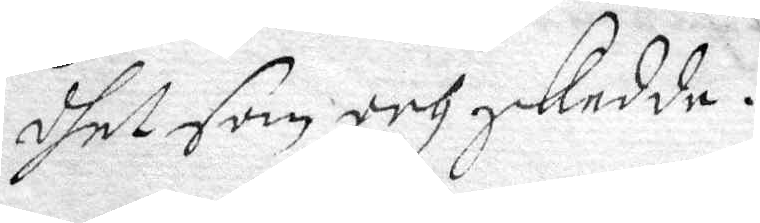dhet som och skedde.
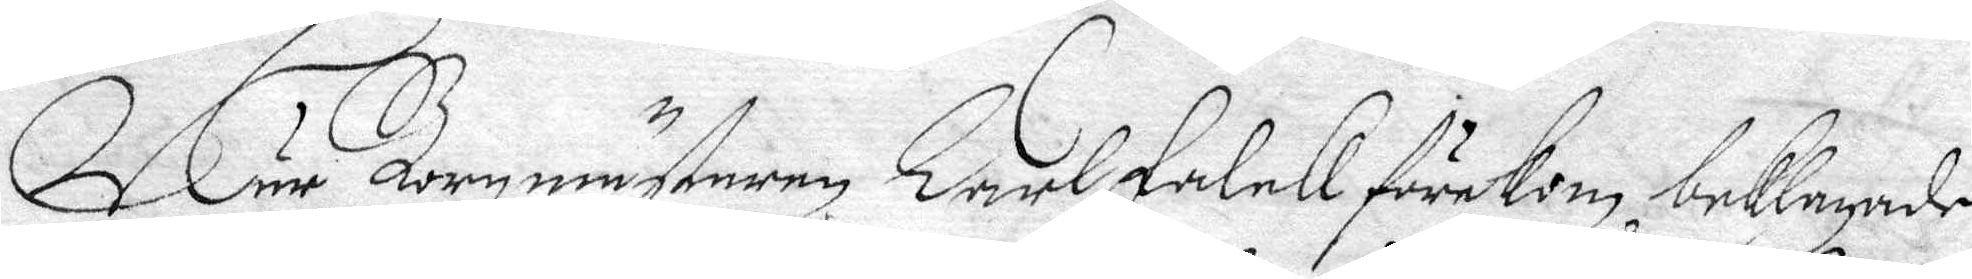Närr Borgmästaren Carl Falck förekom, beklagade
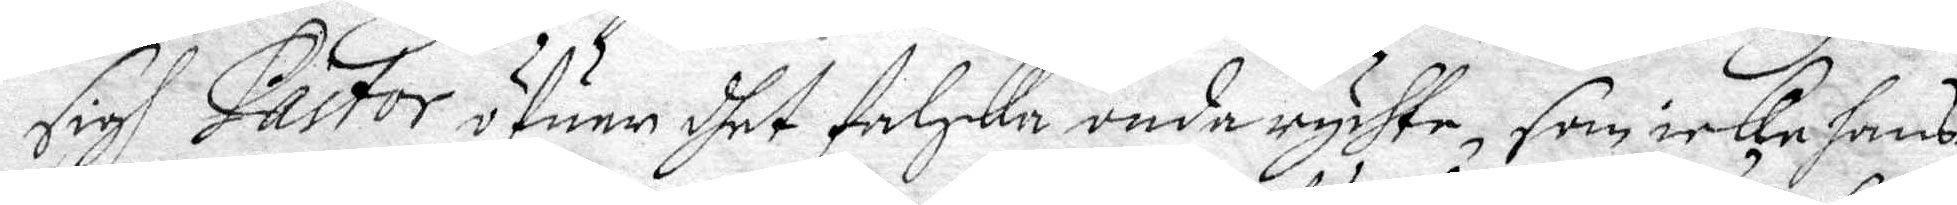sigh Pastor öfuer dhet falska onda rychte, som icke hans
